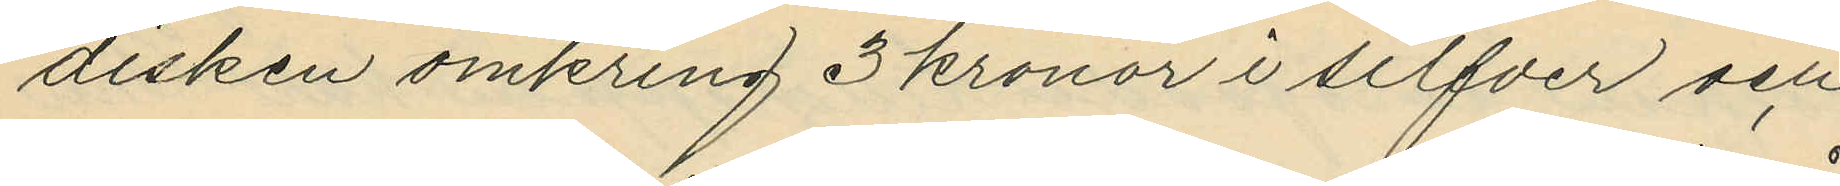disken omkring 3 kronor i silfver och
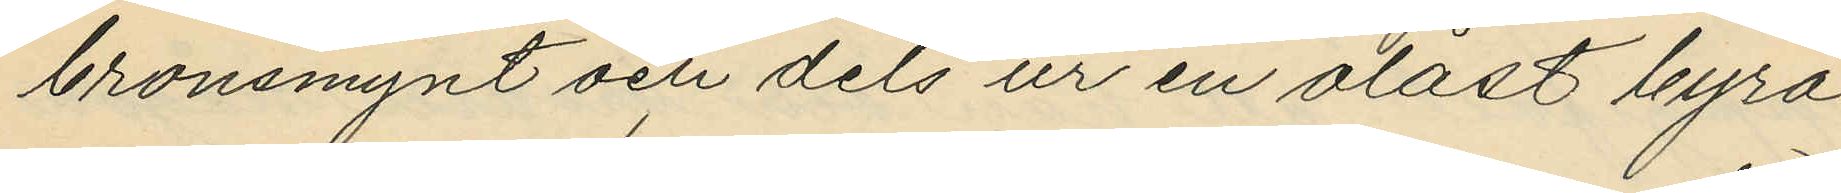bronsmynt och dels ur en olåst byrå
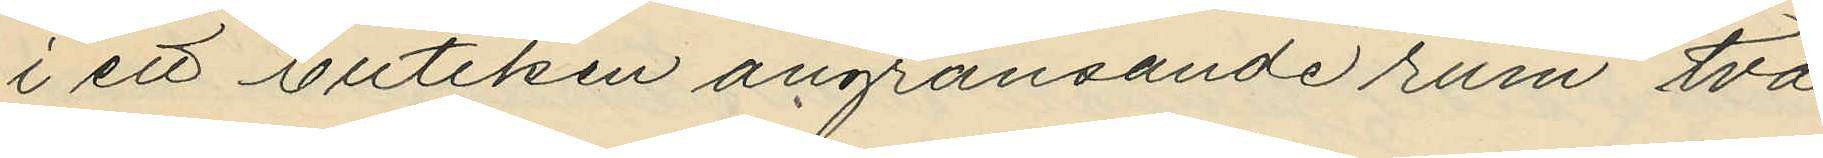i ett butiken angränsande rum två
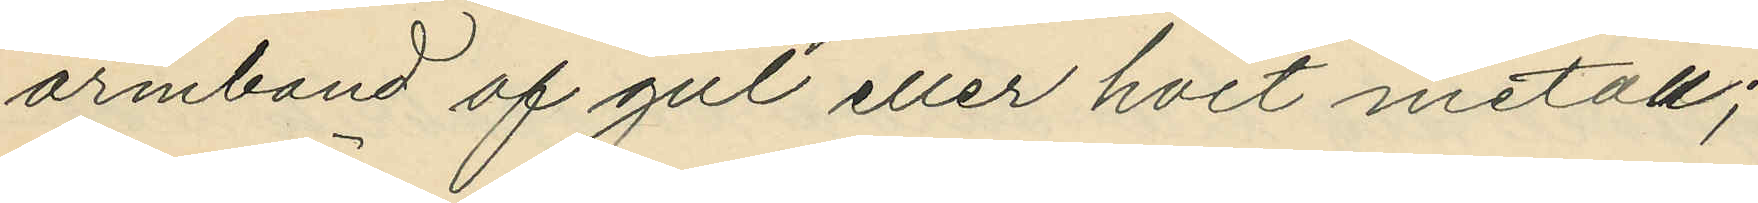armband af gul eller hvit metall;
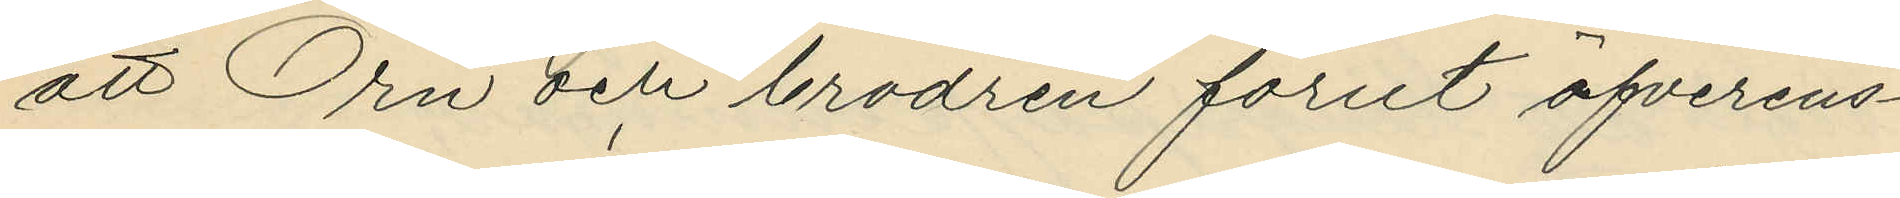att Örn och brodren förut öfverens¬
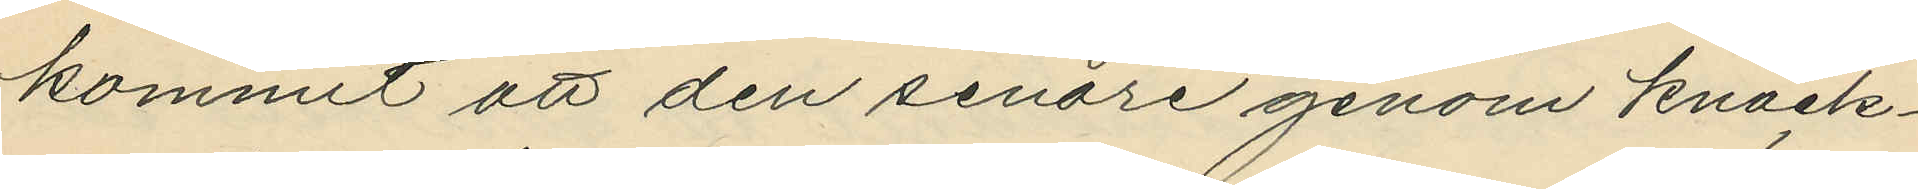kommit att den senare genom knack¬
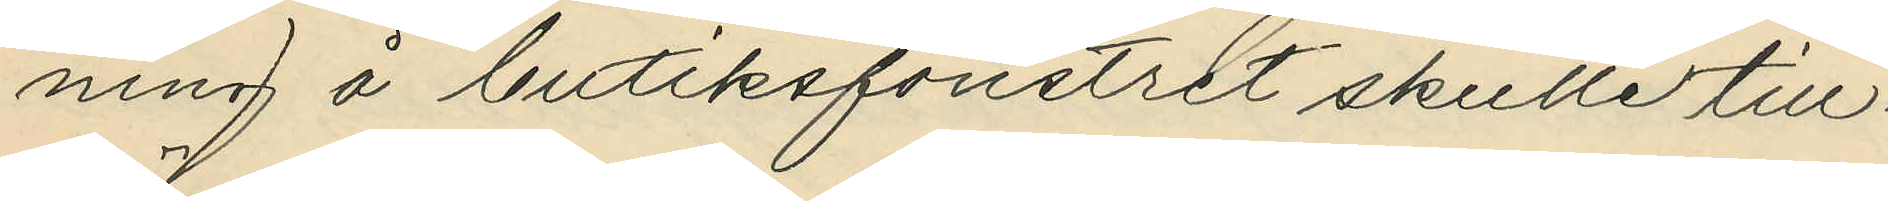ning å butiksfönstret skulle till¬
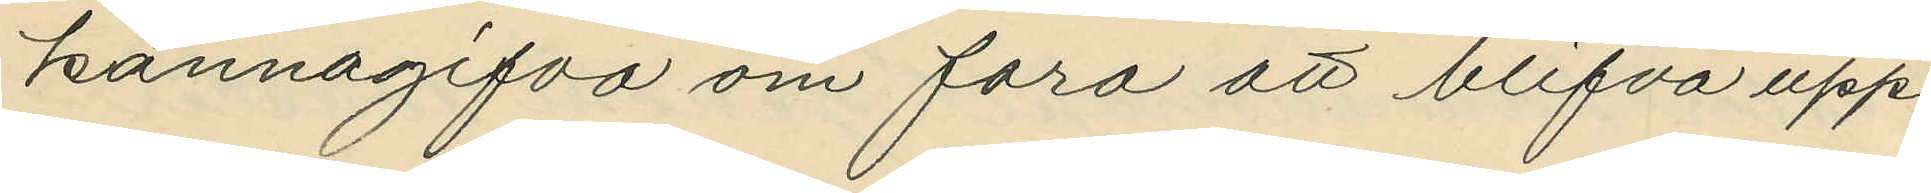kännagifva om fara att blifva upp¬
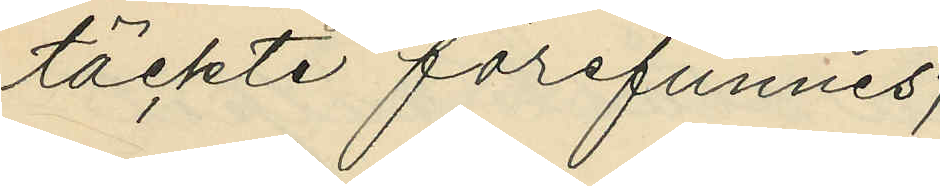täckte förefunnes;
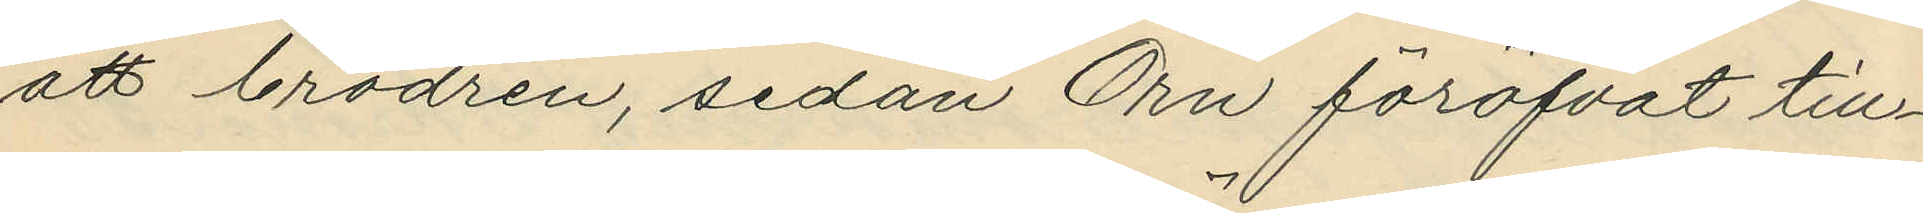att brodren, sedan Örn föröfvat till¬
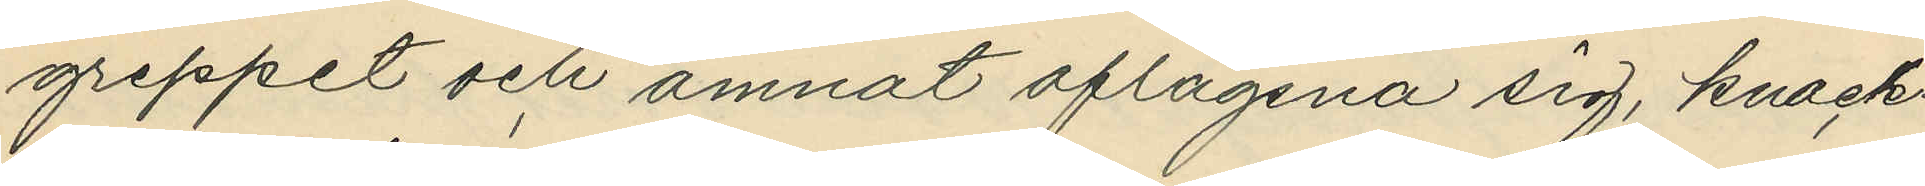greppet och ämnat aflägsna sig, knack¬
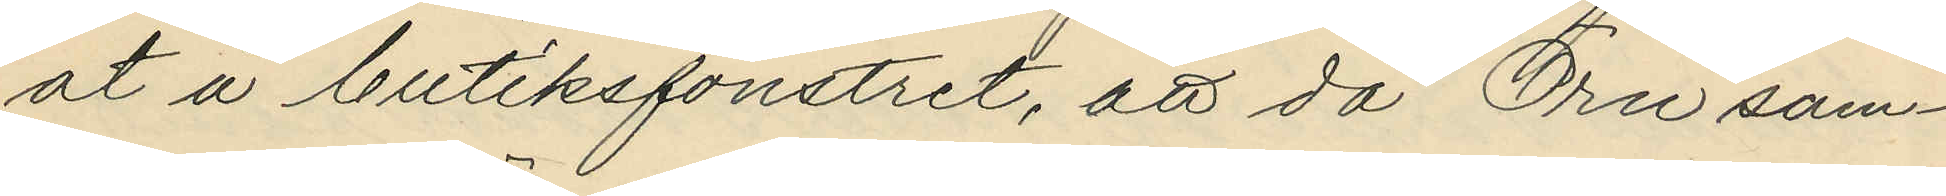at å butiksfönstret, att då Örn sam¬
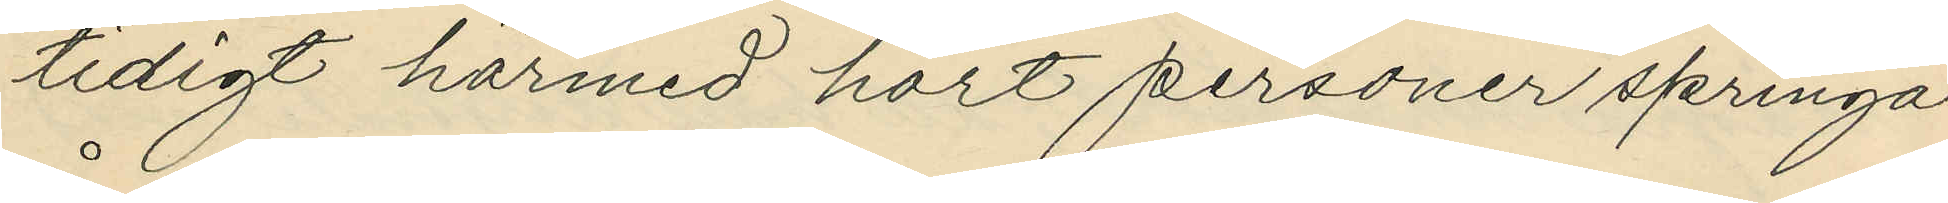tidigt härmed hört personer springa
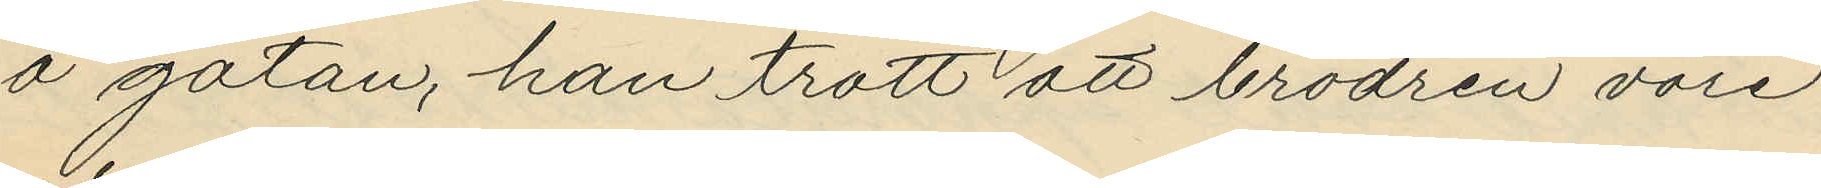å gatan, han trott att brodren vore
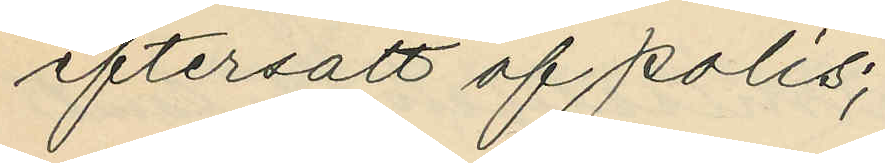eftersatt af polis;
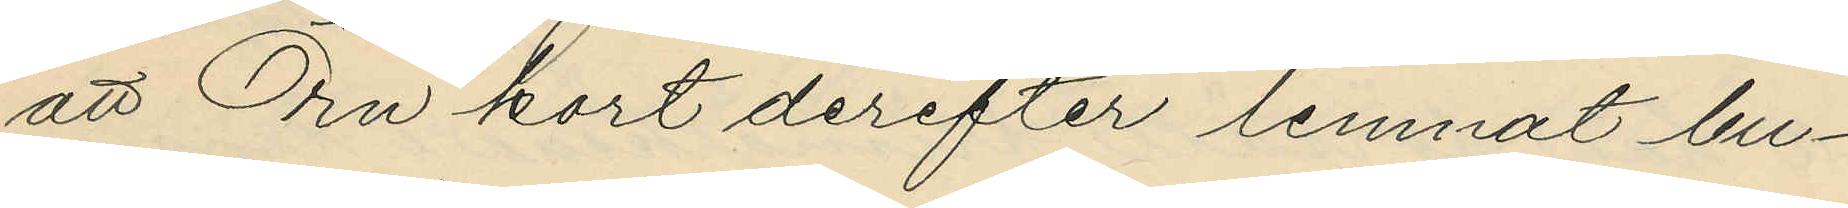att Örn kort derefter lemnat bu¬
